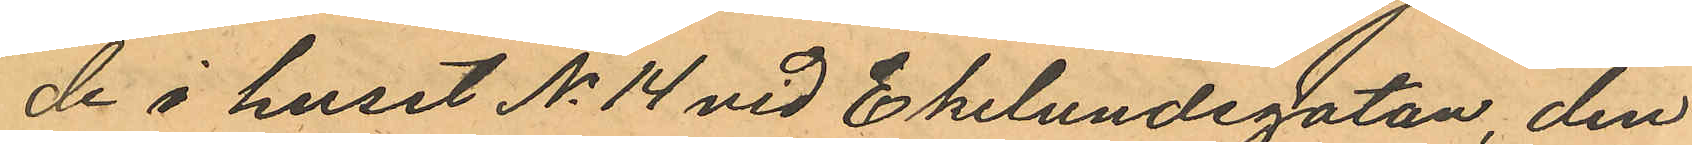de i huset No 14 vid Ekelundsgatan, den
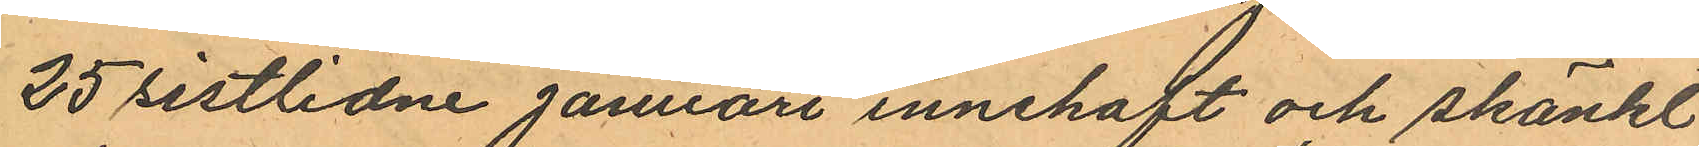25 sistlidne Januari innehaft och skänkt
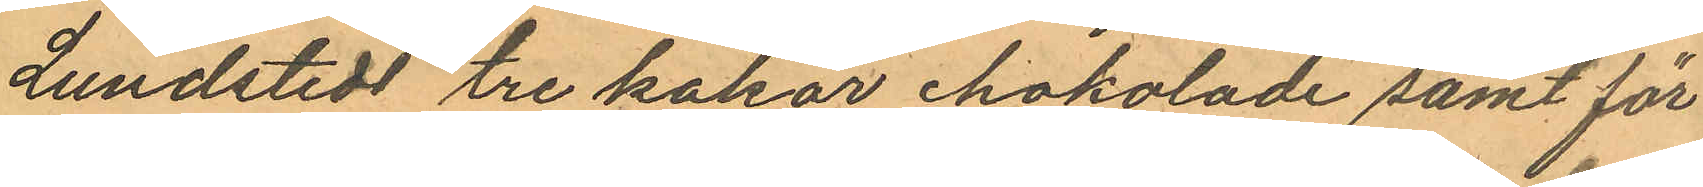Lundstedt tre kakor chokolade samt för
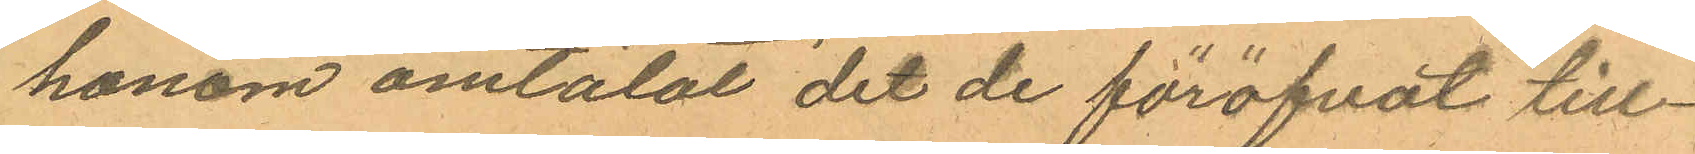honom omtalat det de föröfvat till¬
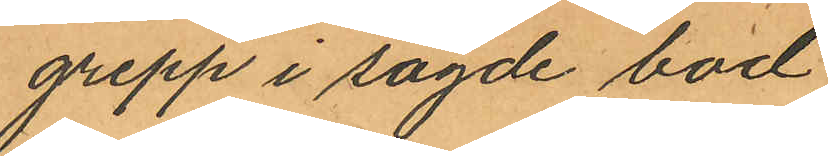grepp i sagde bod;
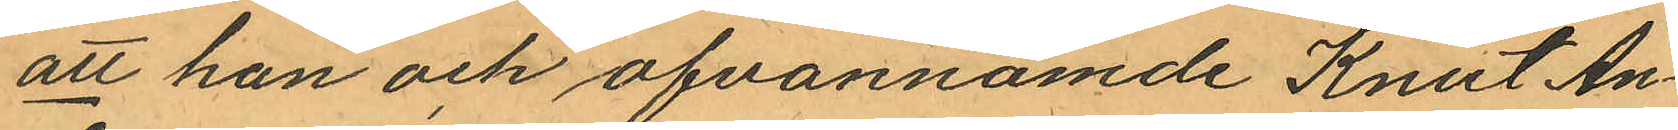att han och ofvannämde Knut An¬
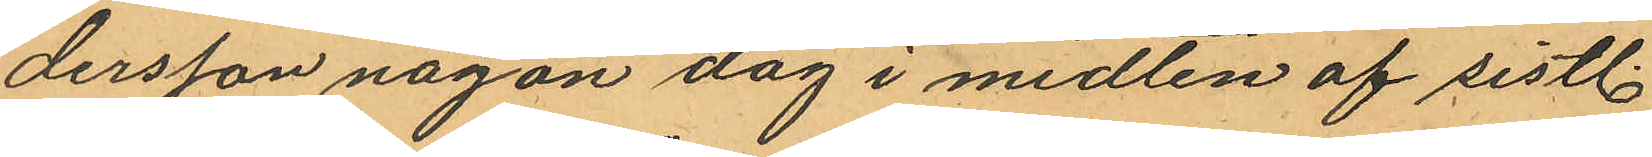dersson någon dag i midten af sistl.
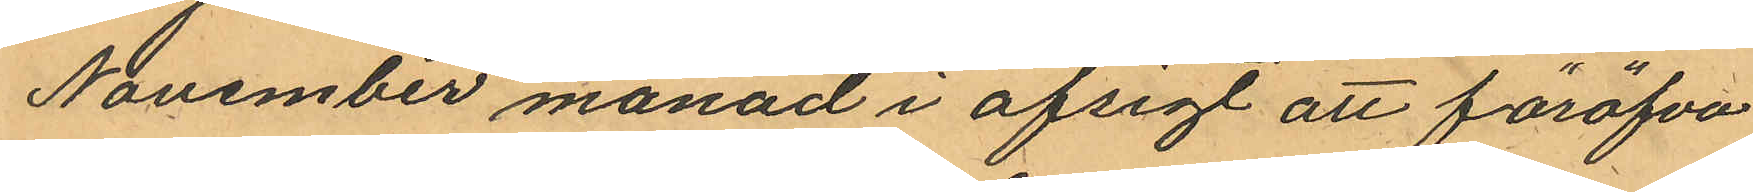November månad i afsigt att föröfva
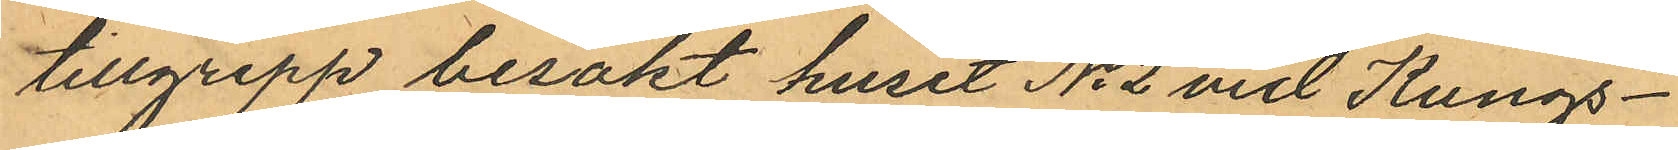tillgrepp besökt huset No 2 vid Kungs¬
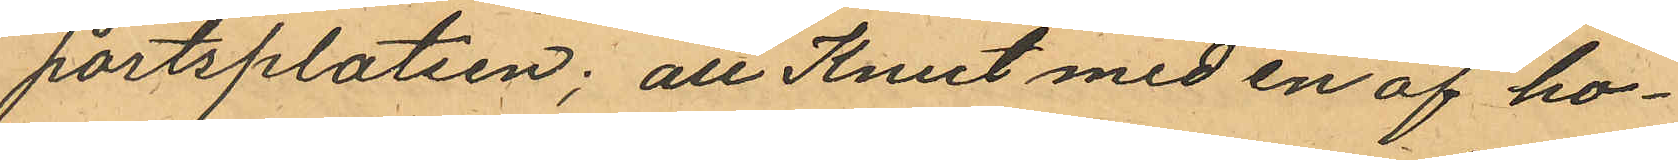portsplatsen; att Knut med en af ho¬
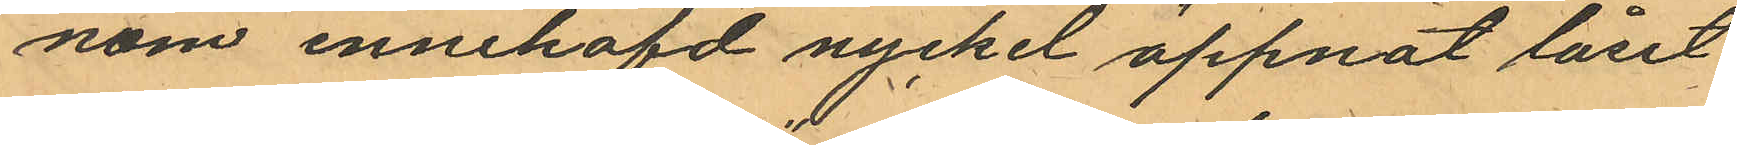nom innehafd nyckel öppnat låset
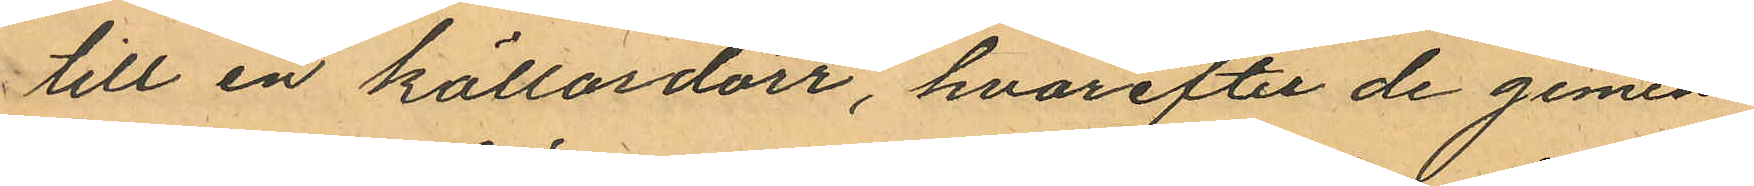till en källardörr, hvarefter de gemen¬
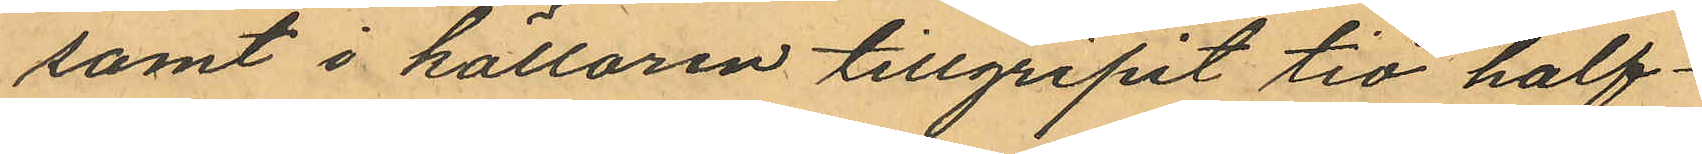samt i källaren tillgripit tio half¬
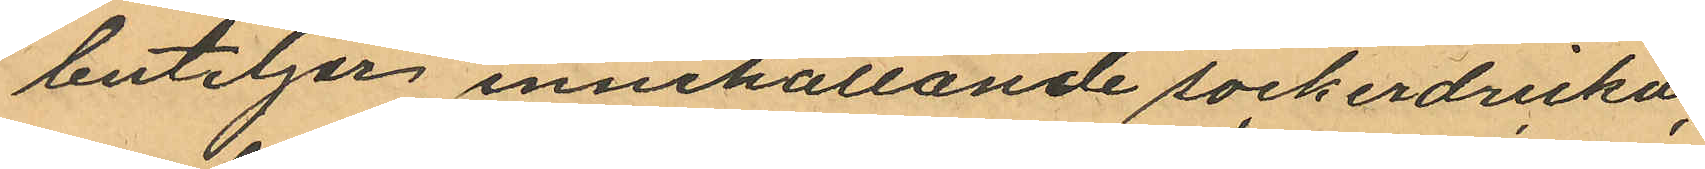buteljer innehållande sockerdricka;
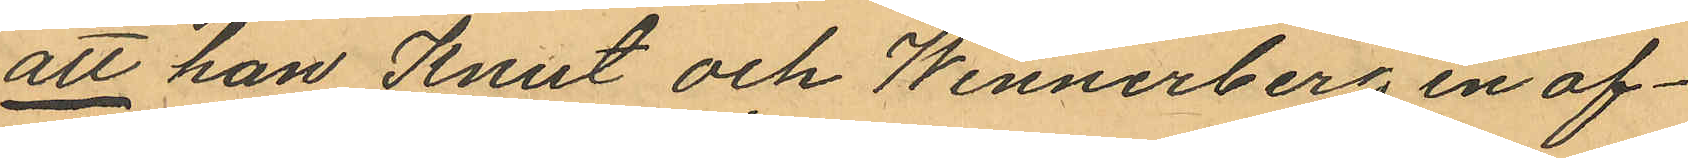att han Knut och Wennerberg en af¬
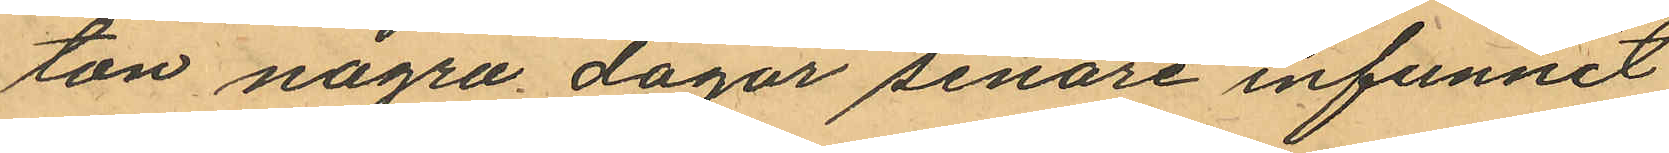ton några dagar senare infunnit
